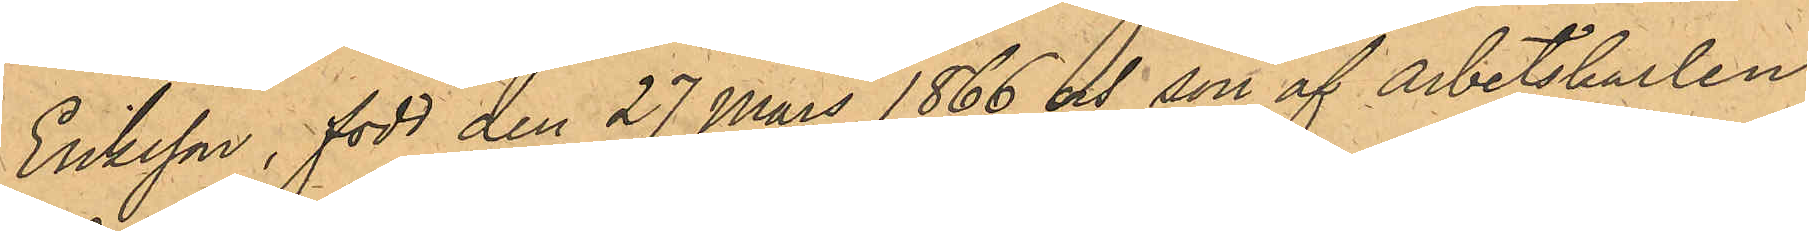Eriksson, född den 27 Mars 1866 och son af Arbetskarlen
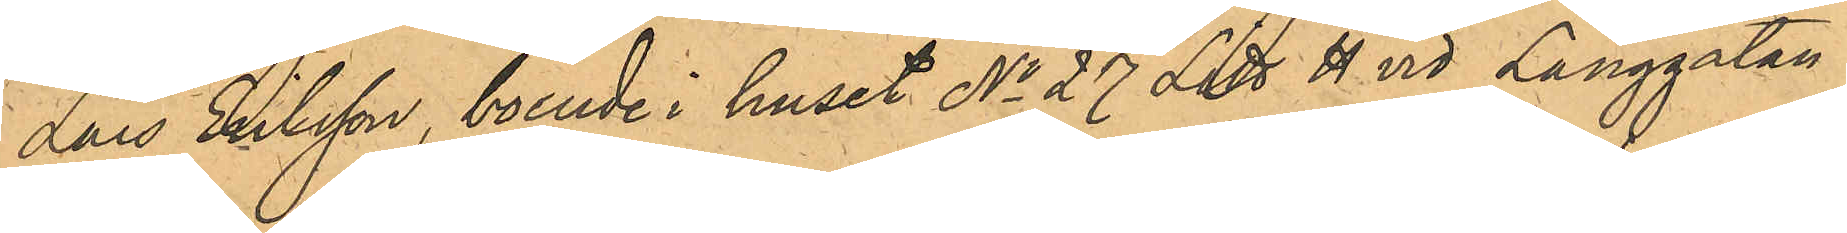Lars Eriksson, boende i huset No 27 Litt H vid Långgatan i
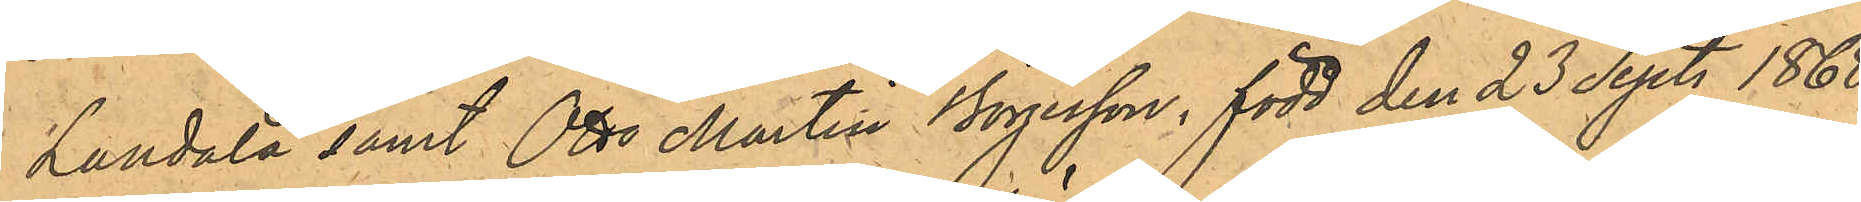Landala samt Otto Martin Börjesson, född den 23 Sept. 1868
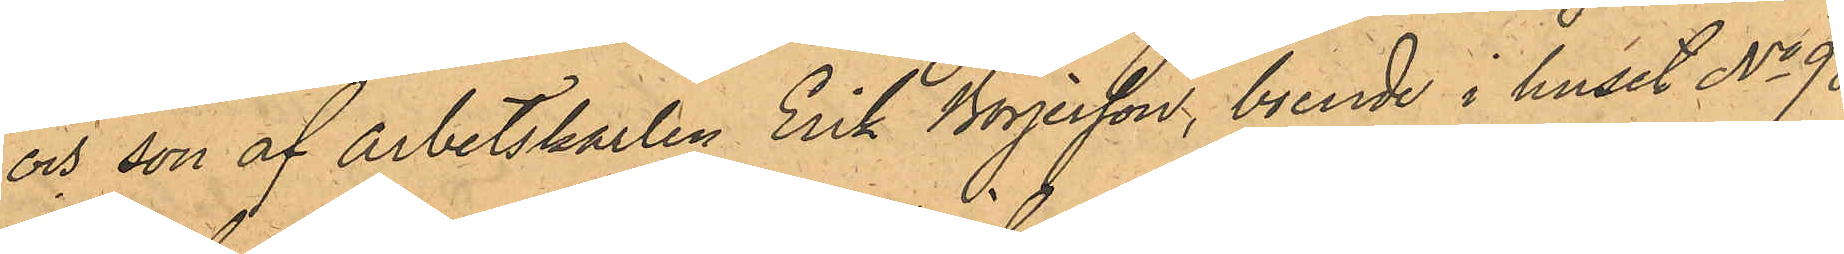och son af arbetskarlen Erik Börjesson, boende i huset No 98
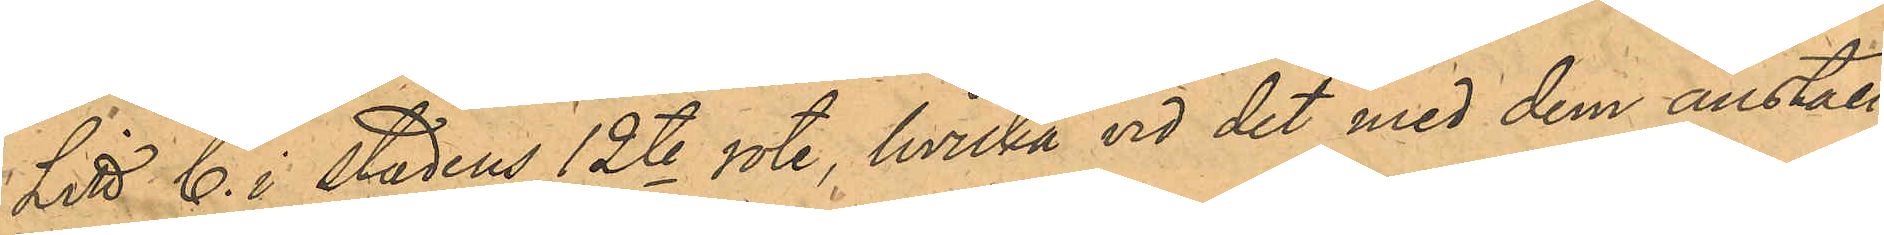Litt C. i stadens 12te rote, hvilka vid det med dem anställ¬
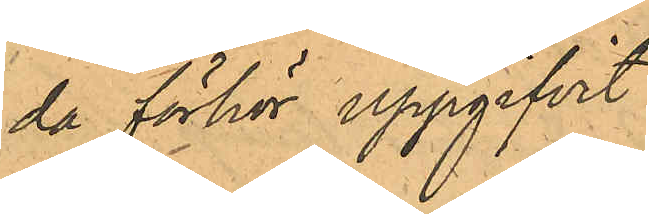da förhör uppgifvit
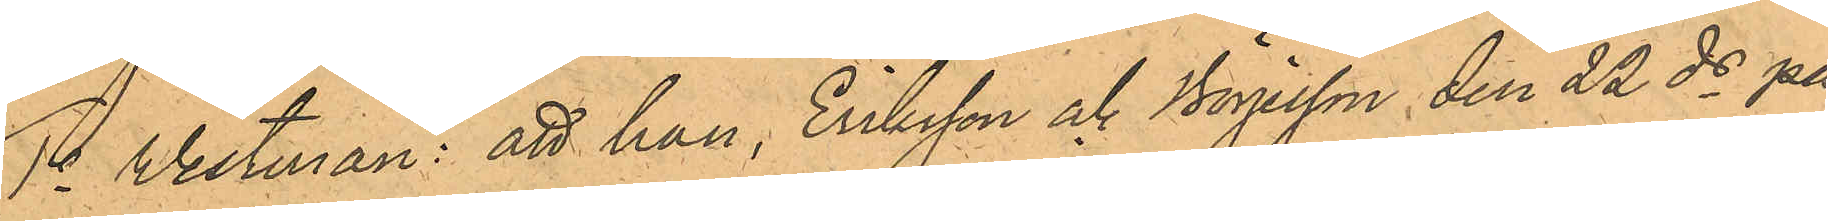1o Vestman: att han, Eriksson och Börjesson den 22 ds på
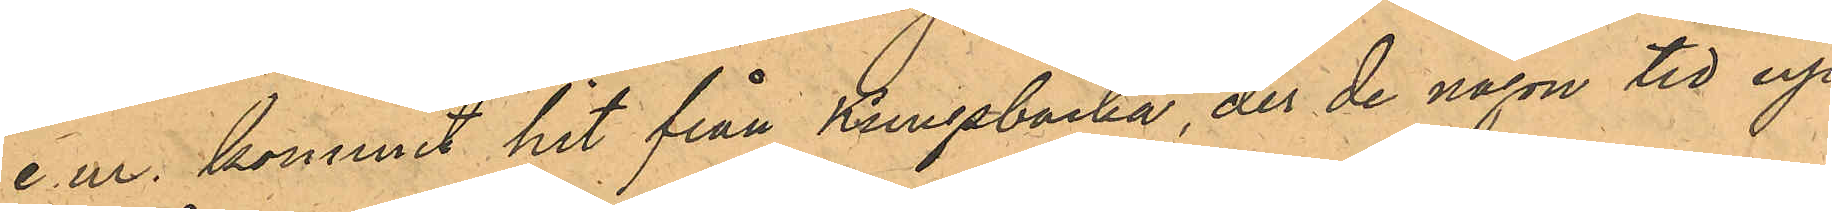e.m. kommit hit från Kungsbacka, der de någon tid up¬
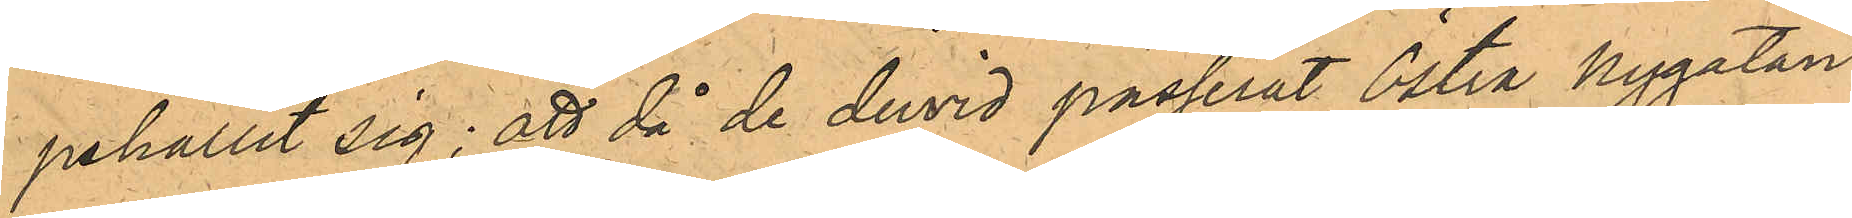pehållit sig; att då de dervid passerat Östra Nygatan
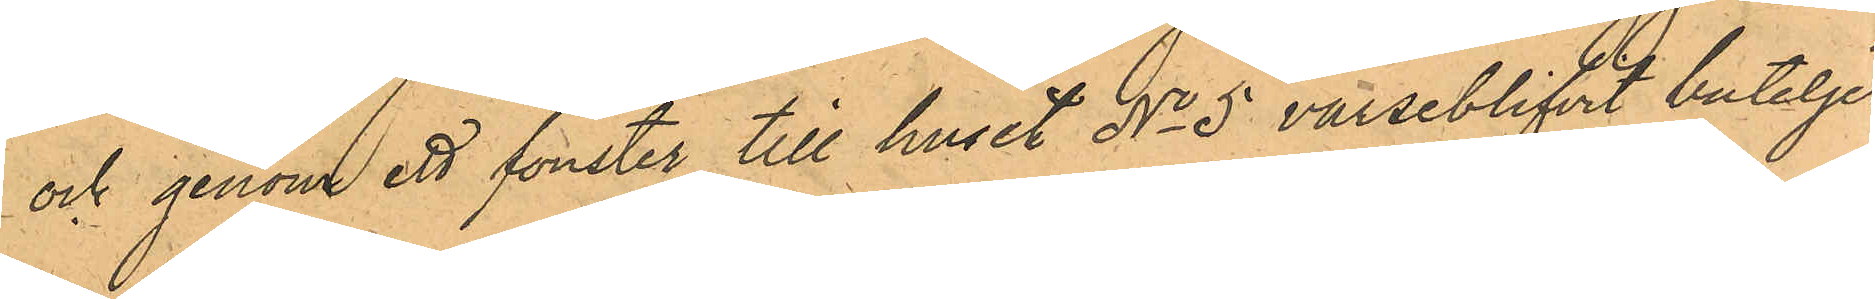och genom ett fönster till huset No 5 varseblifvit buteljer
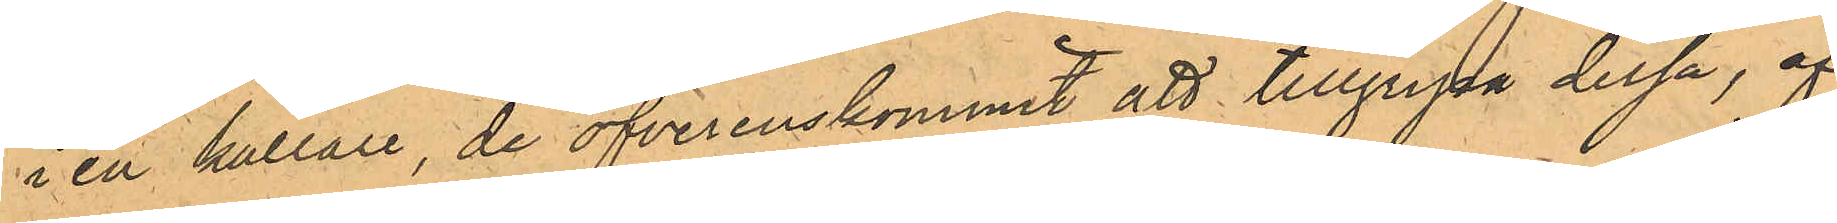i en källare, de öfverenskommit att tillgripa dessa, af
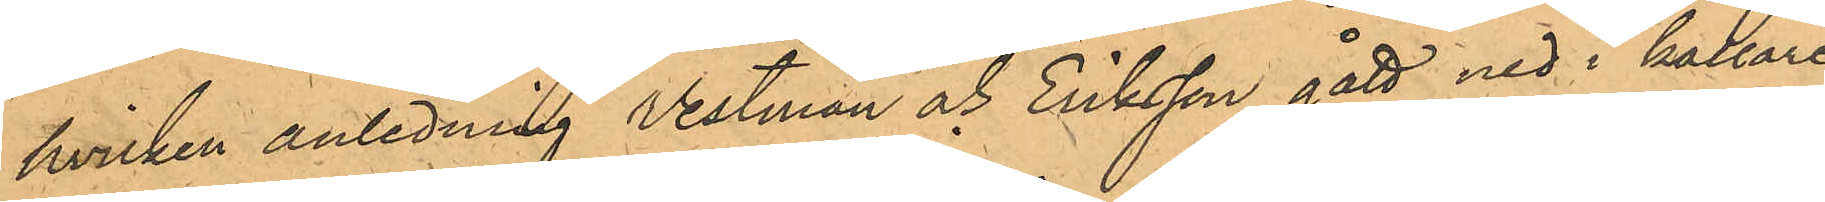hvilken anledning Vestman och Eriksson gått ned i källare¬
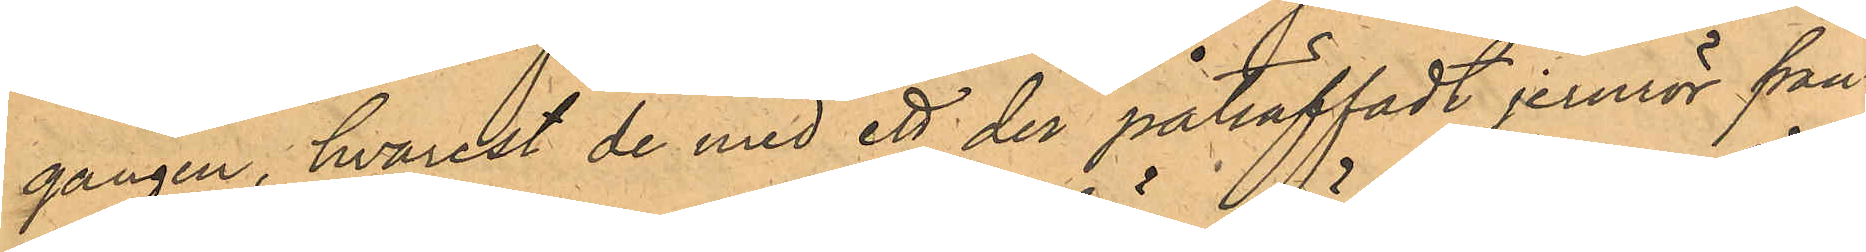gången, hvarest de med ett der påträffadt jernrör från¬
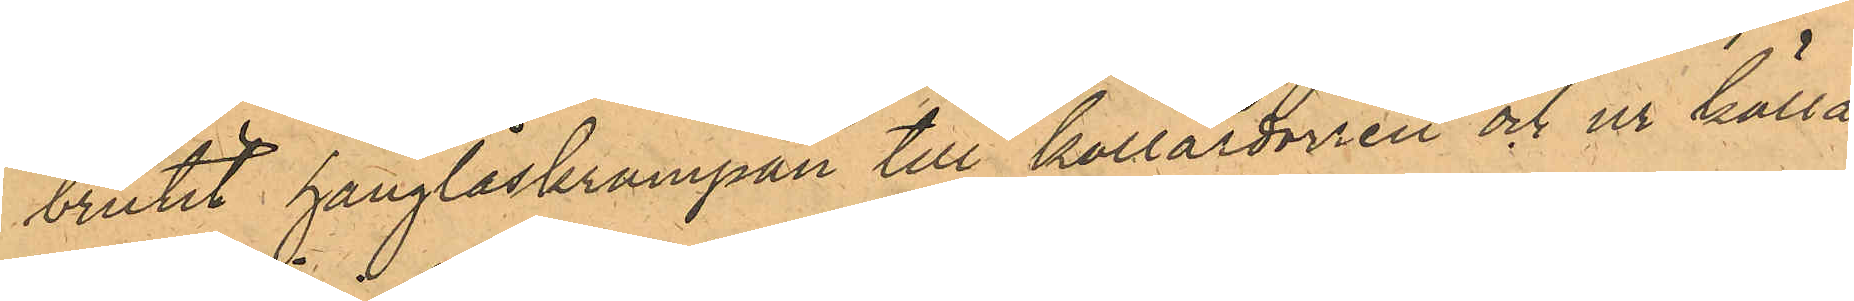brutit hänglåskrampan till källardörren och ur källa¬
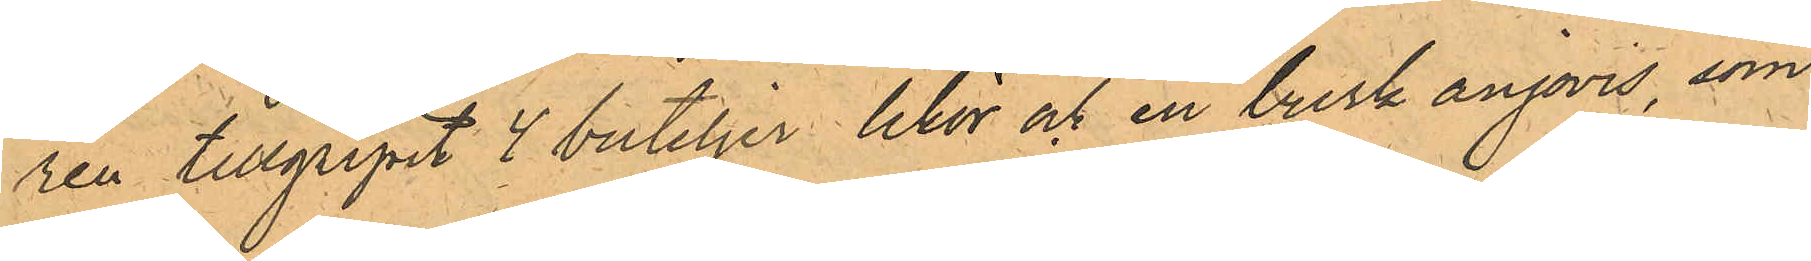ren tillgripit 4 buteljer likör och en burk anjovis, som
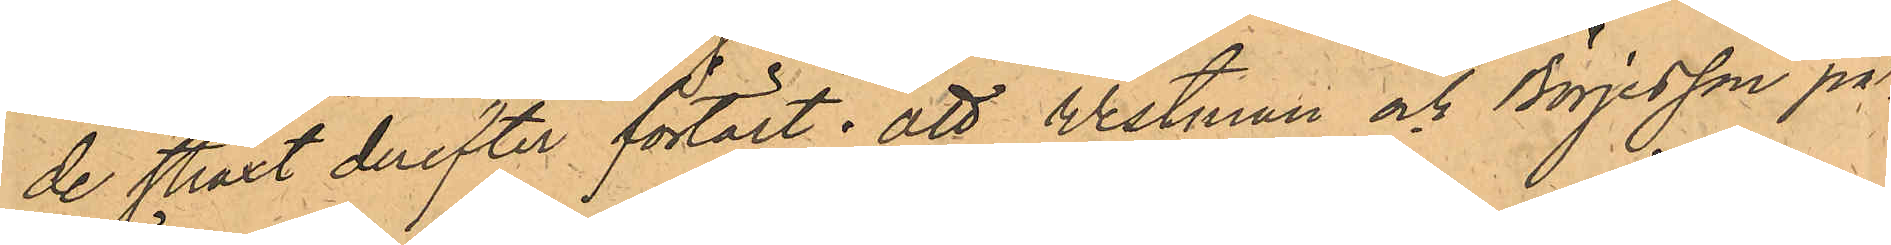de straxt derefter förtärt; att Westman och Börjesson på¬
